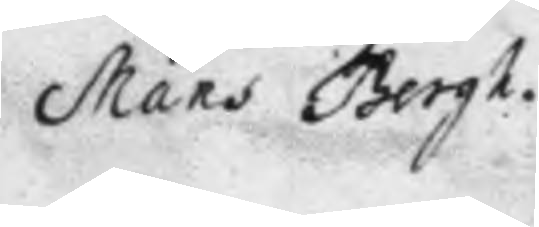Måns Bergh.
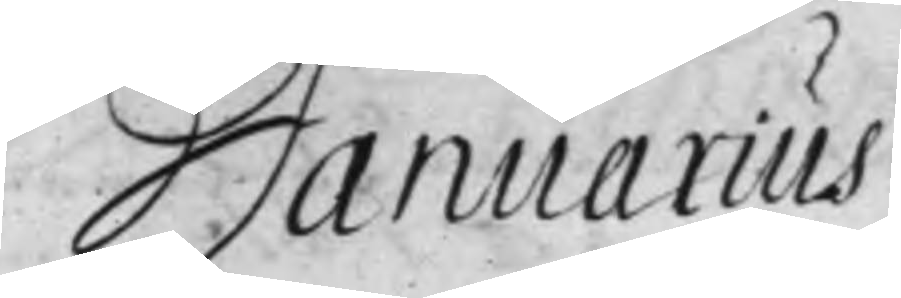Januarius.
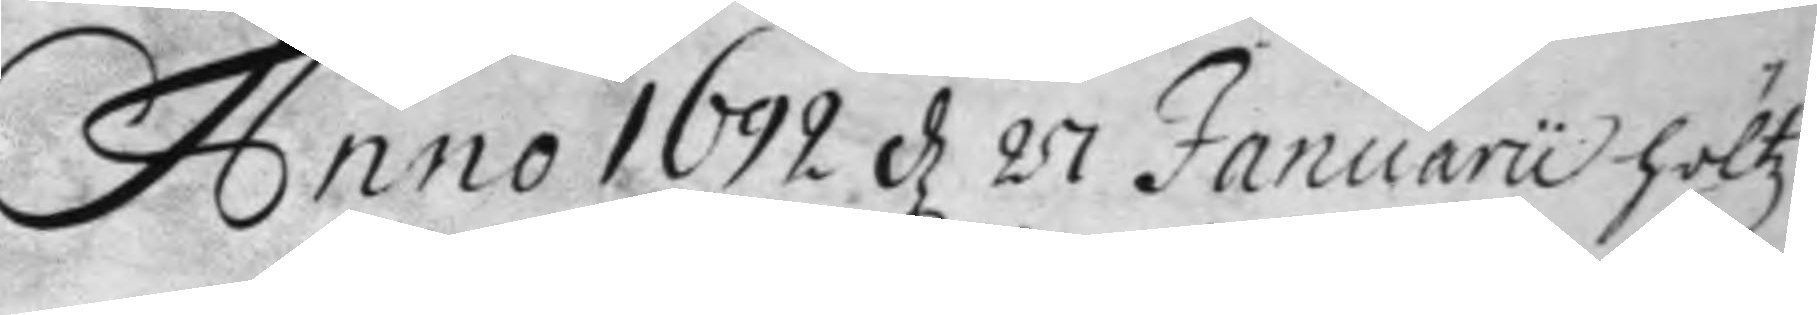Anno 1692 d 27 Januaru höltz
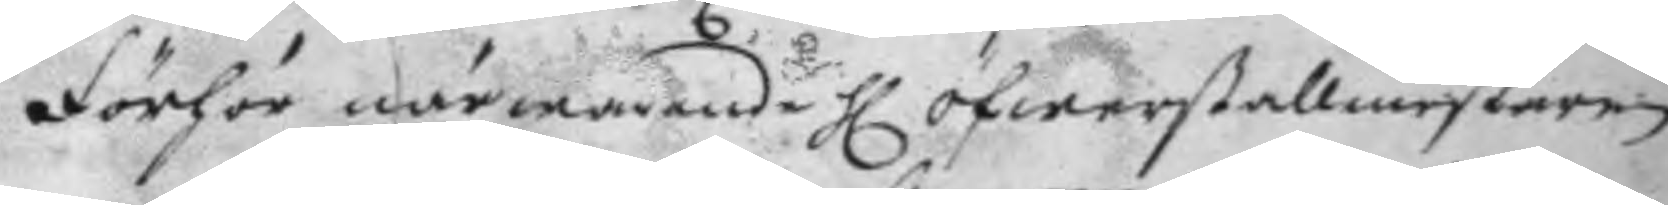förhör närwarande H öfwerstallmestaren
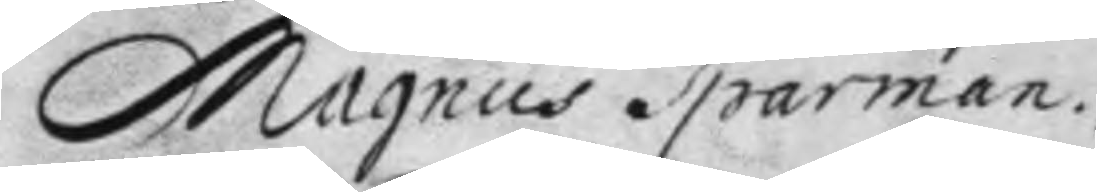Magnus Sparman.
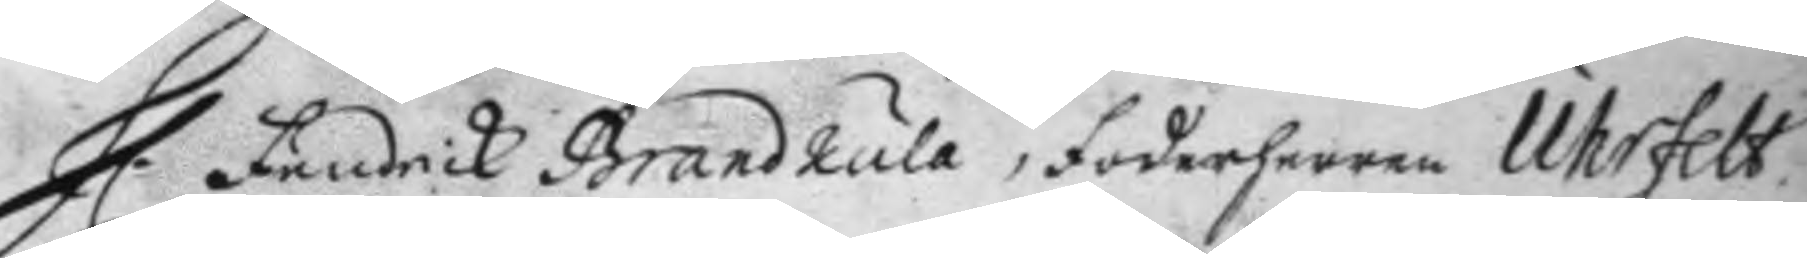H. Fändrick Brandkula, Foderherren Uhrfelt
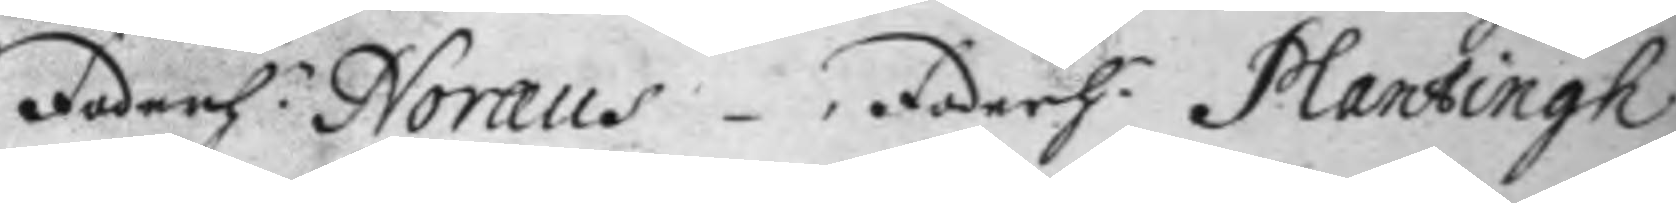Foderh.n Noræus, Foderh:n Plantingh
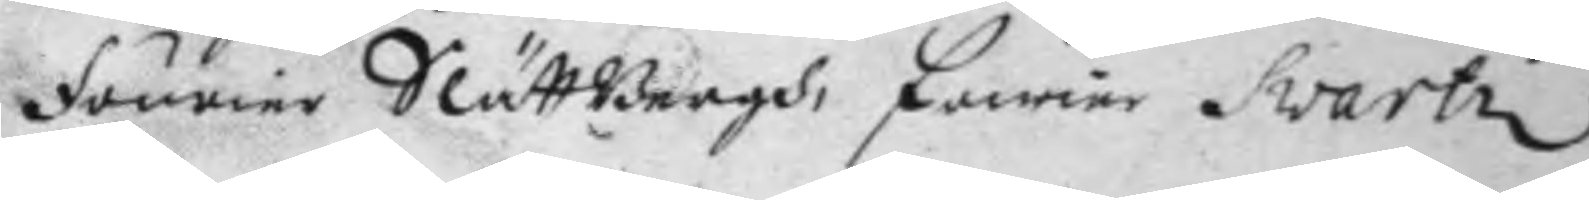Föurier SlättBergh, Fourier Svartz.
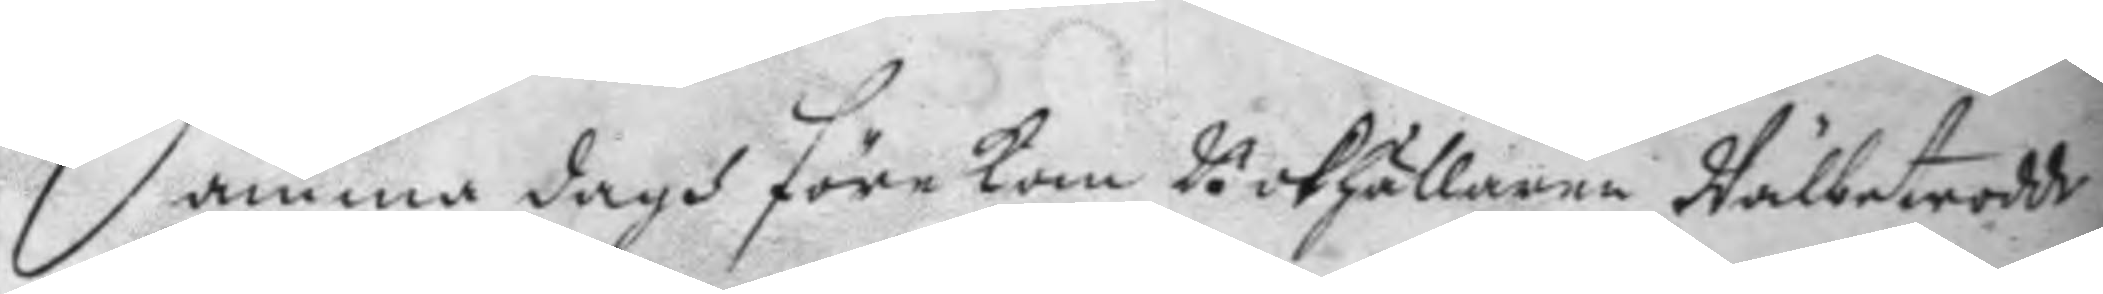Samma dagh förekom Bookhållaren Wälbetrodde
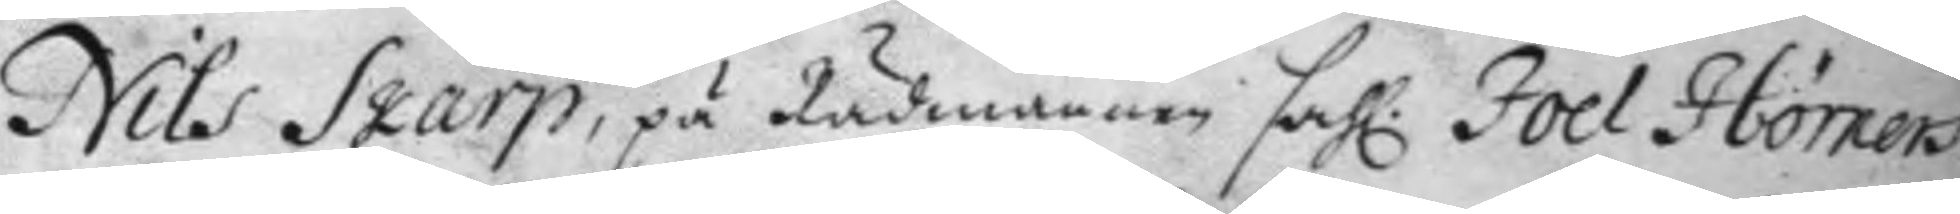Nils Skarp, på Rådmannen sahl: Joel Hörners
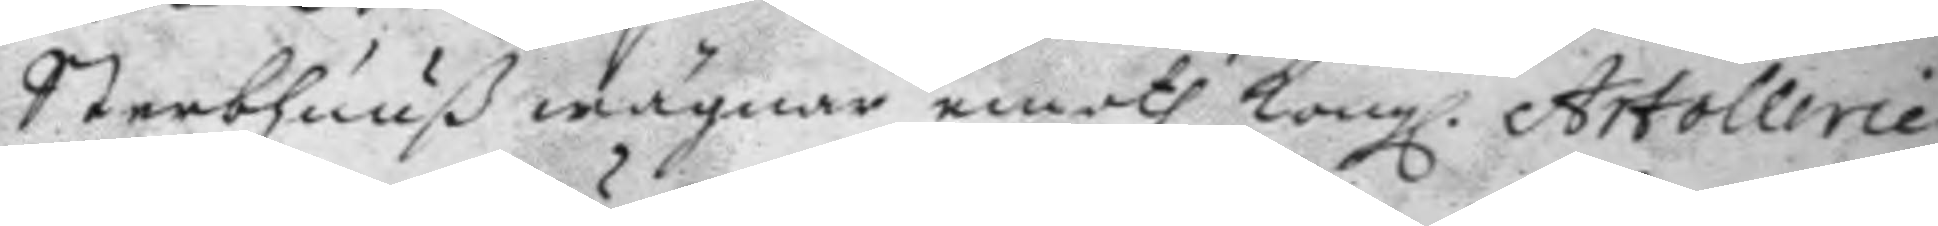Sterbhuuß wägnar emoth Kong. Artollerie
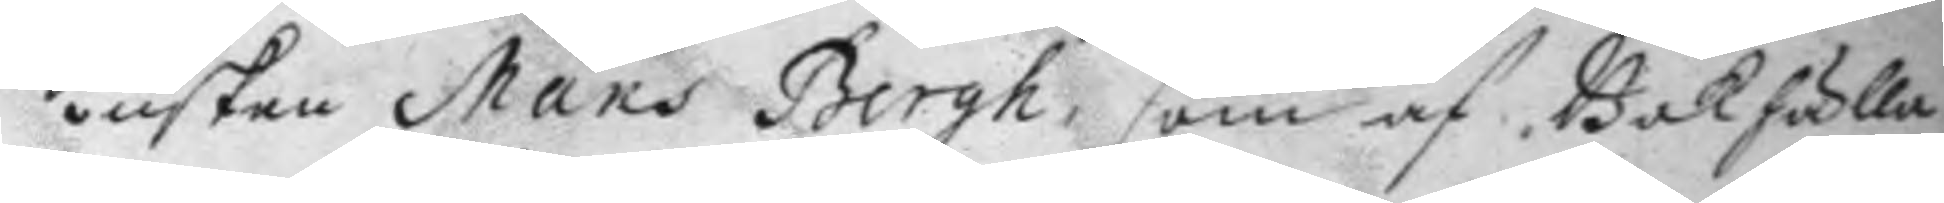kusken Måns Bergh, som af Bokhålla¬
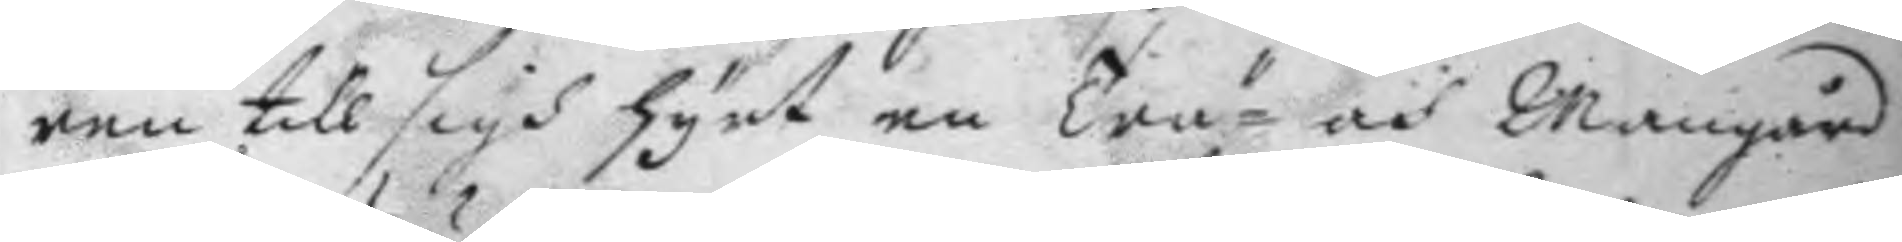ren till sigh hyrt en Trä- och Mangård
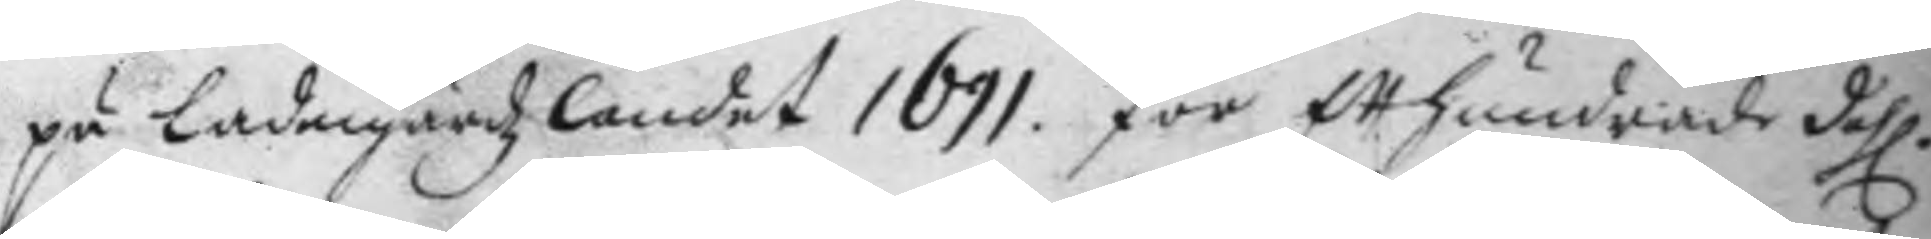på Ladugårdzlandet 1691 för etthundrade dahl.
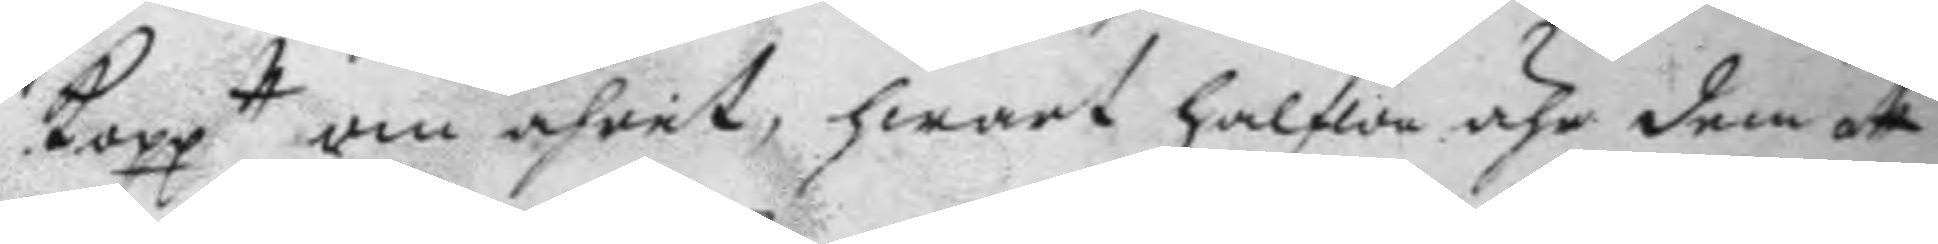Kopptt om åhret, hwart halfwa åhr dem att
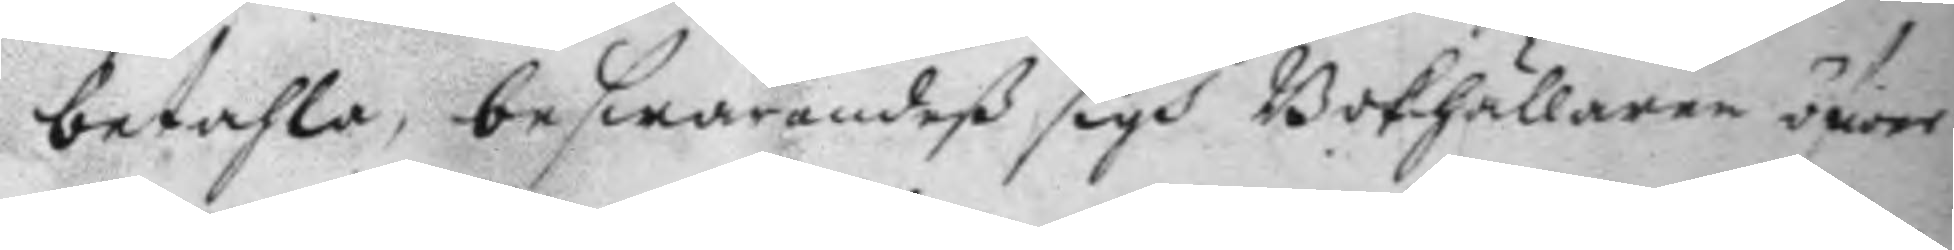betahla, beswärandeß sigh Bokhållaren öfwer
